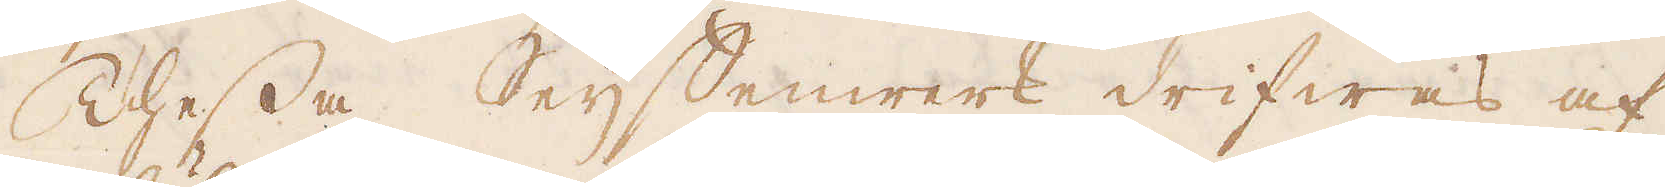Thessa Seijffenwerk drifwas af
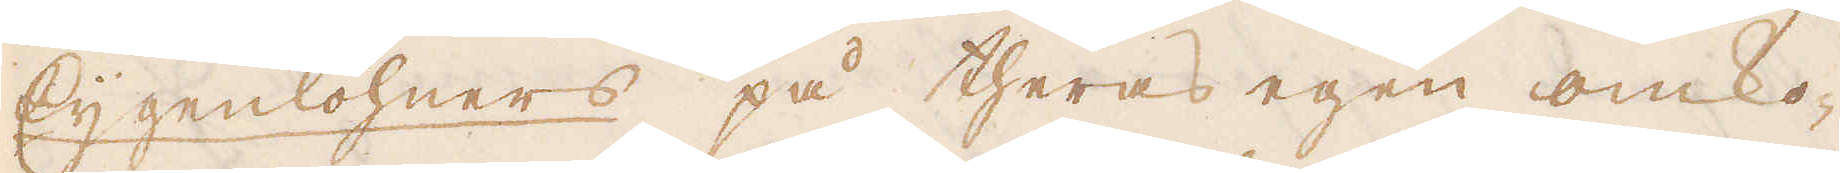Eijgenlöhners på theras egen omko-
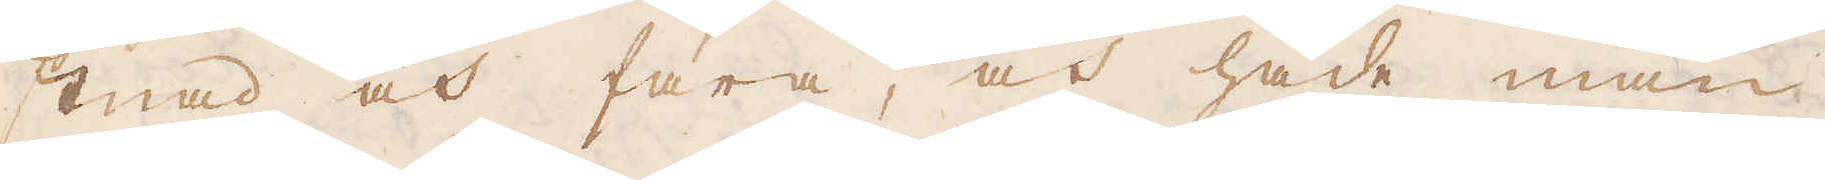stnad och fara, och hade man
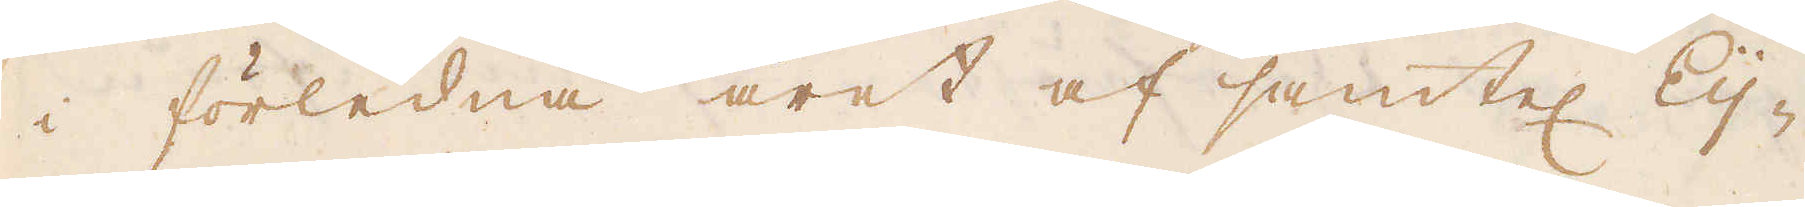i förledna året af samtel: Eij-
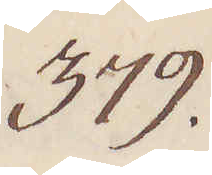379.
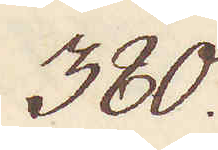380.
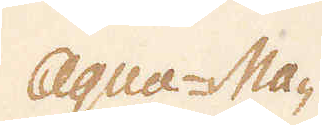Aqua-Ma-
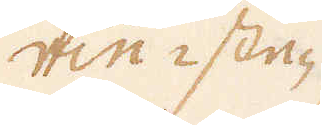rin-ste-
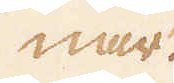nar.
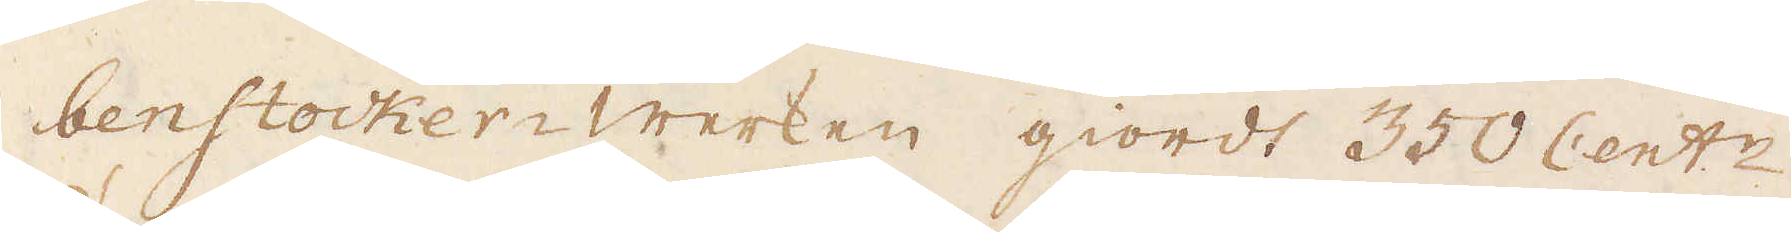benstocker-werken giordt 350 Cent:r
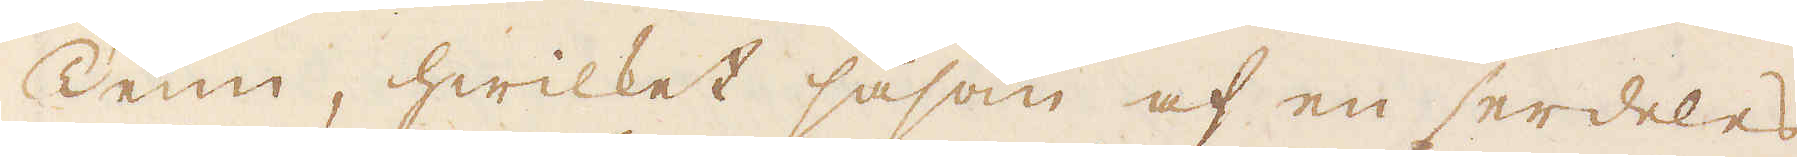Tenn, hwilket såsom af en serdeles
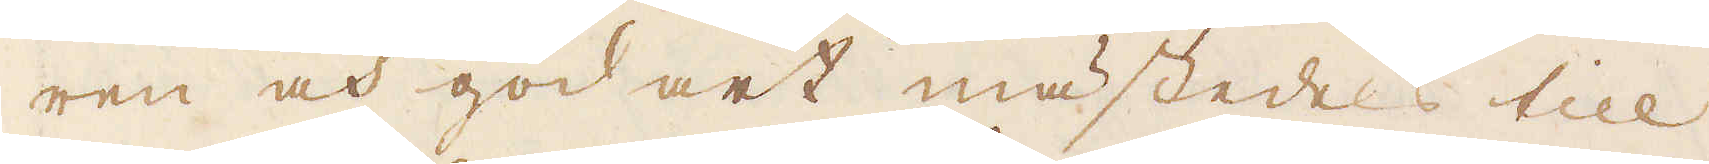ren och god art mästedes till
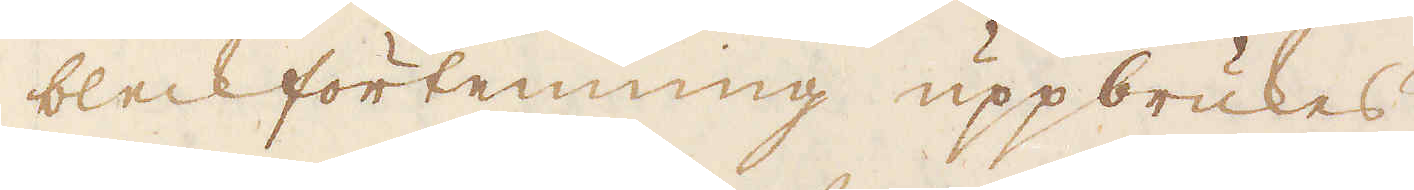bleckförtenning uppbrukes.
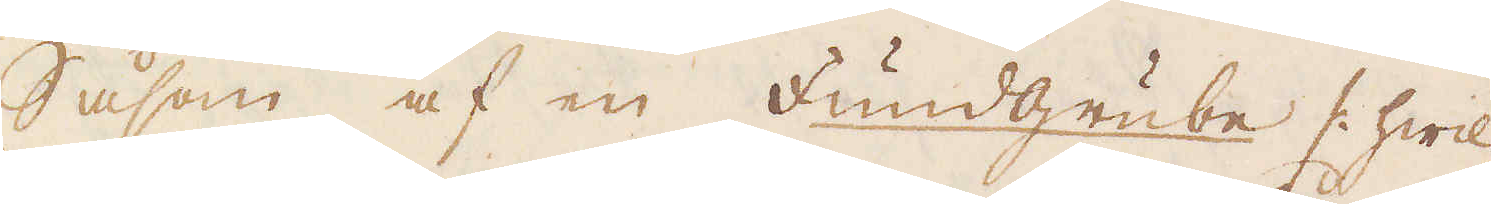Såsom af en Fundgrube /: hwil-
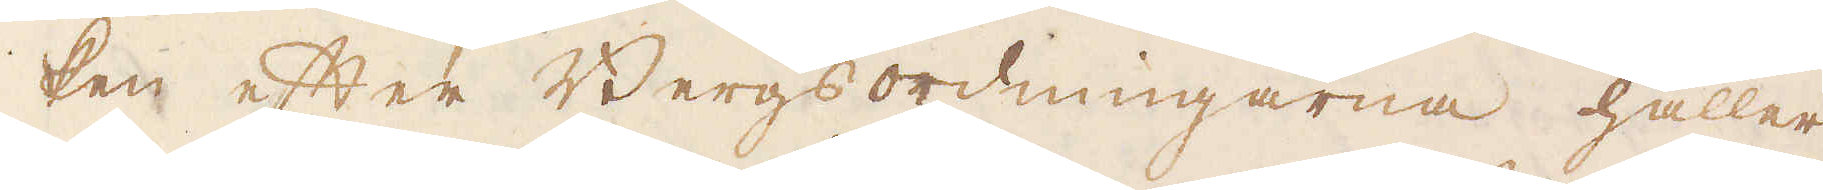ken efter Bergsordningarna håller
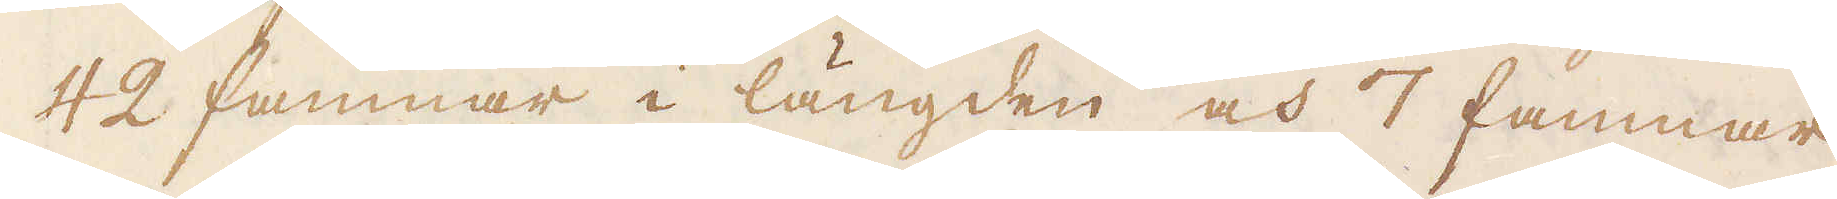42 famnar i längden och 7 famnar
